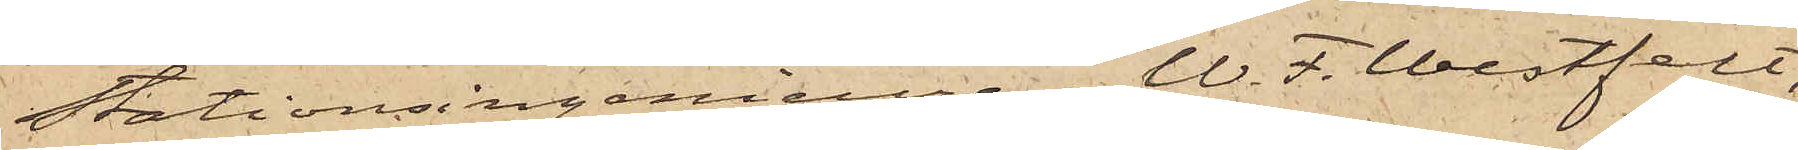Stationsingenieuren W. F. Westfelt,
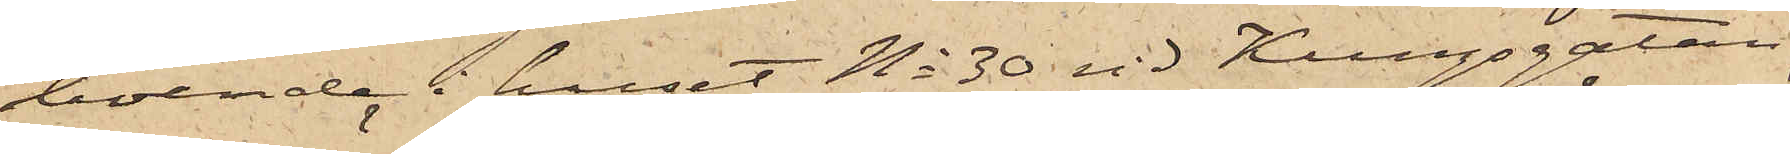boende i huset No 30 vid Kungsgatan,
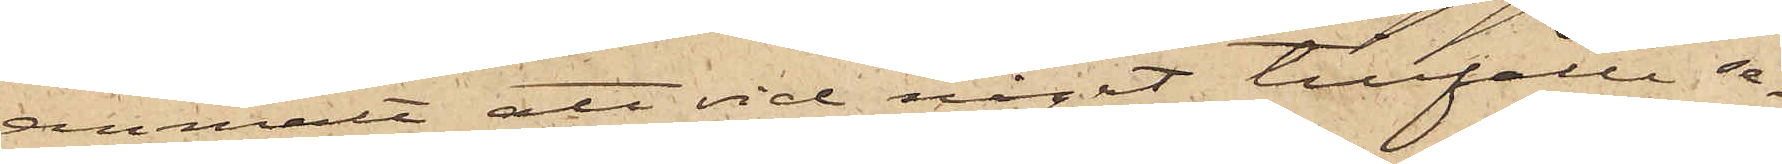anmält att vid något tillfälle se¬
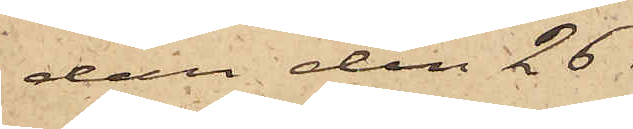dan den 26
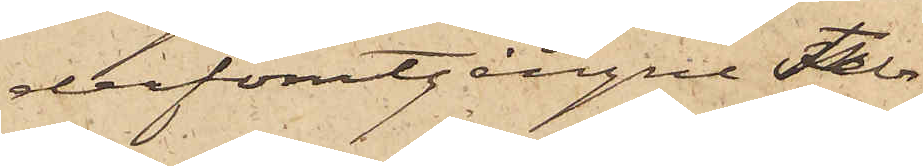derförutgångne Febr
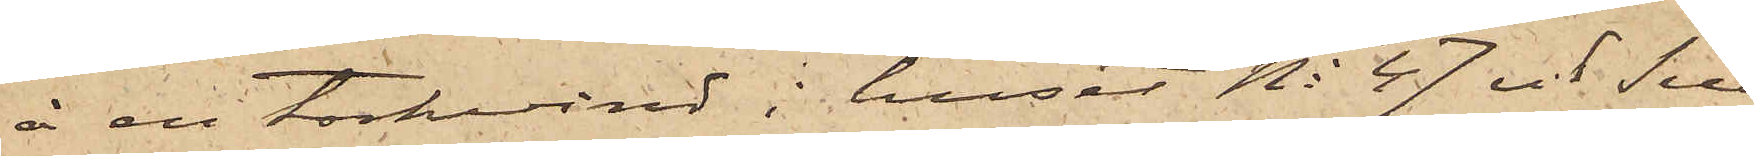å en torkvind i huset No 47 vid Sill¬
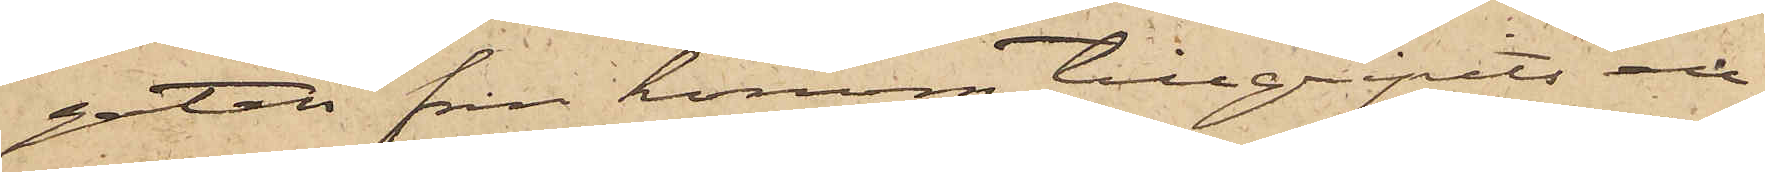gatan från honom tillgripits en
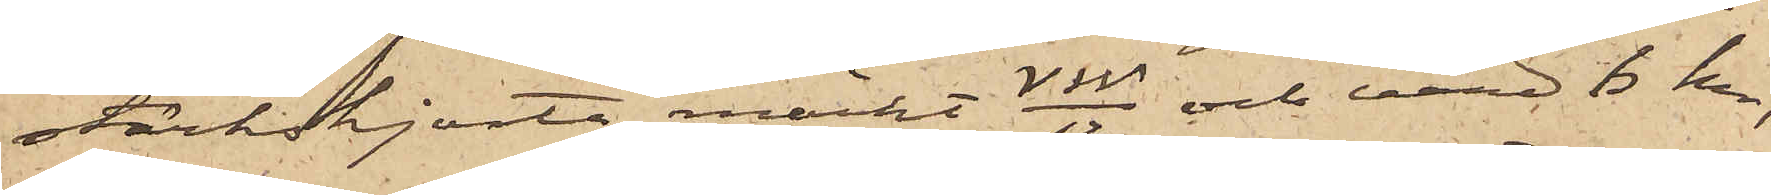stärkskjorta märkt VW/12 och värd 6 kr,
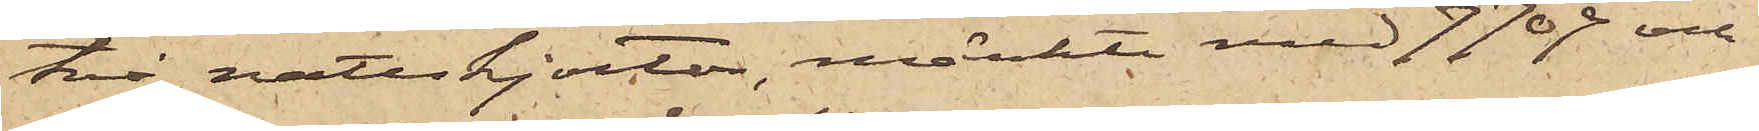två nattskjortor, märkte med 7709 och
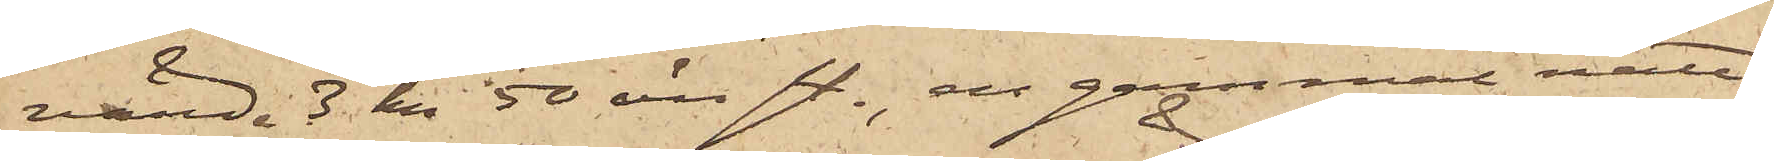värde 3 kr 50 öre st., en gammal natt¬
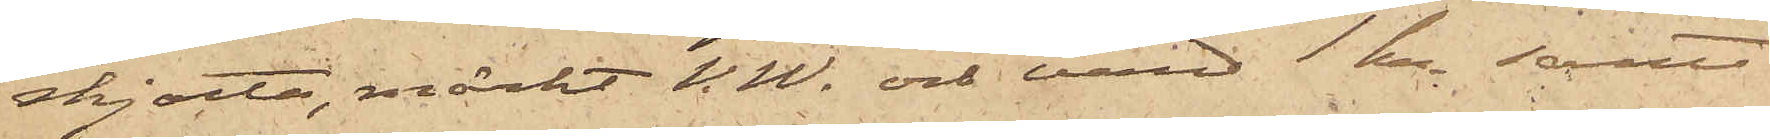skjorta, märkt V. W. och värd 1 kr samt
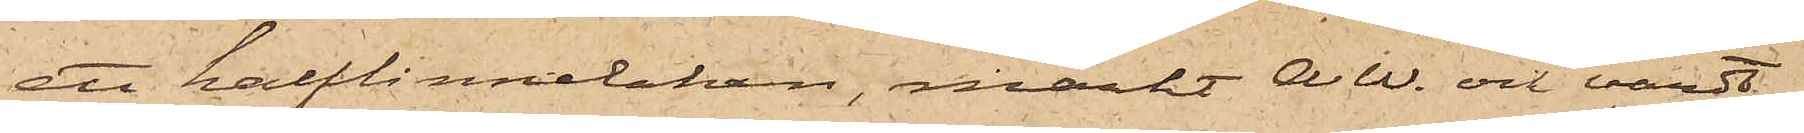ett halflinnelakan, märkt AW. och värdt
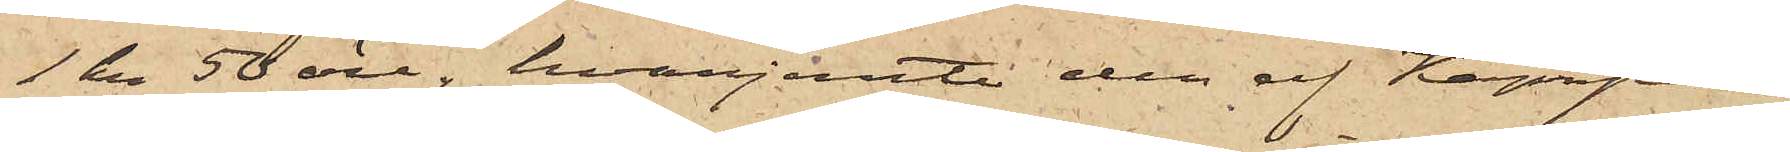1 kr 50 öre, hvarjemte den af Kämpe
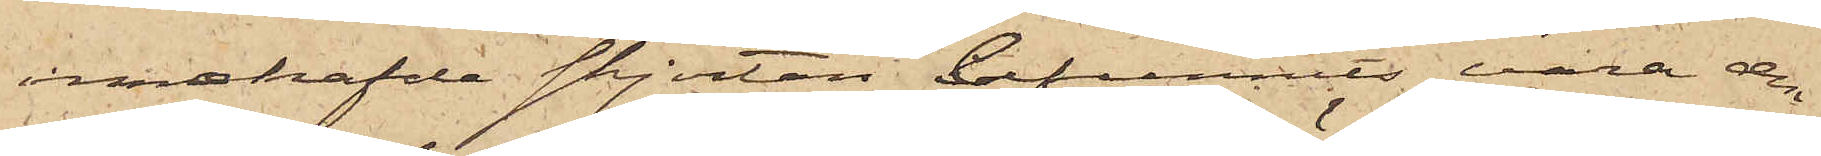innehafde skjortan befunnits vara den
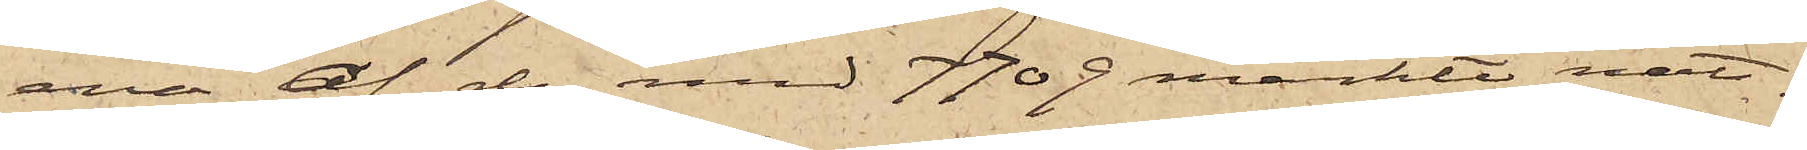ena af de med 7709 märkte natt¬
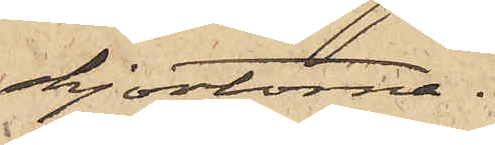skjortorna.
